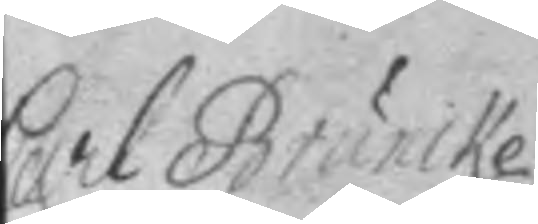Carl Bruncke
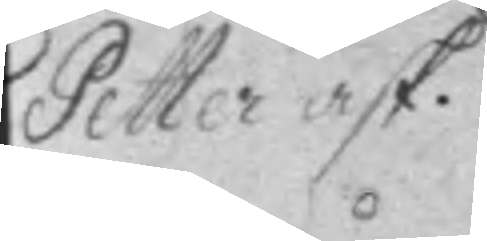Petter ask.
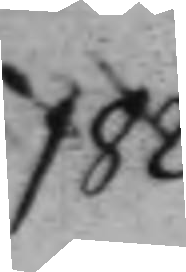182.
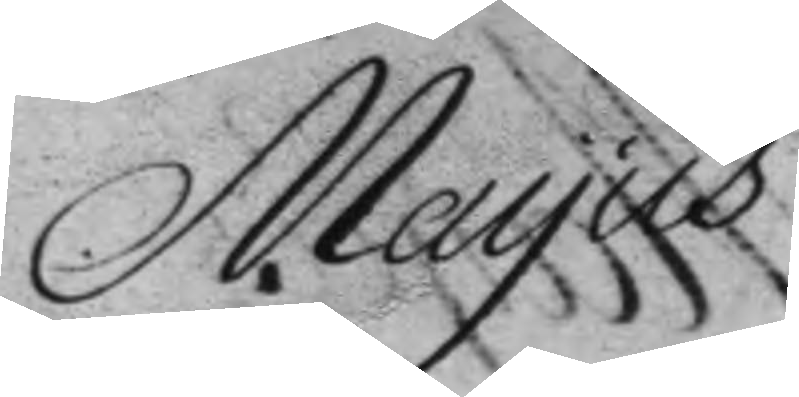Mayus
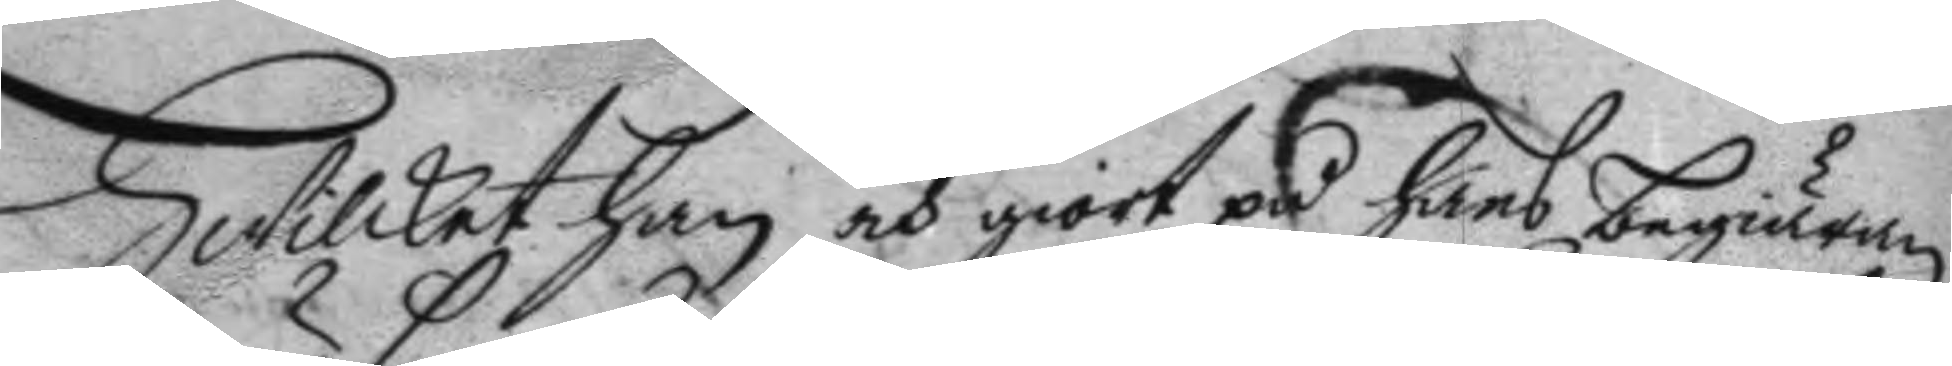Hwilket han och giort på hans begiäran
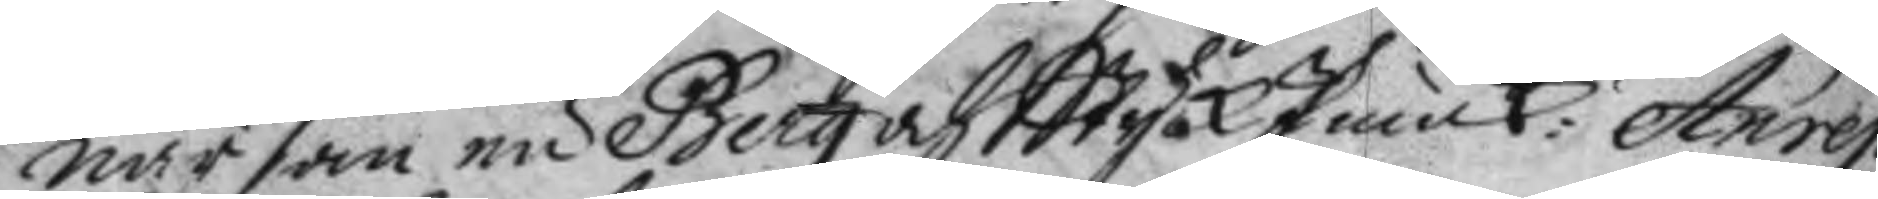när han nu Berg och Styck Junck: Anrep
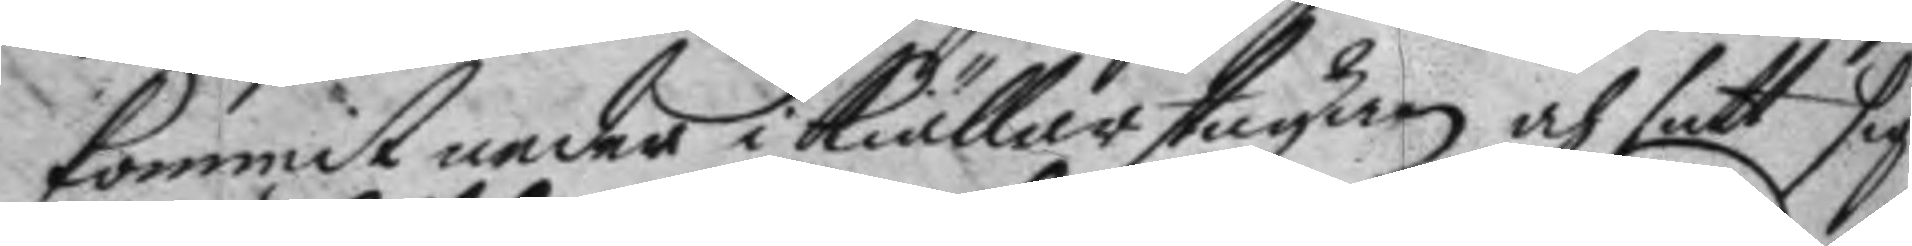kommit neder i Kiällarstagan och satt I
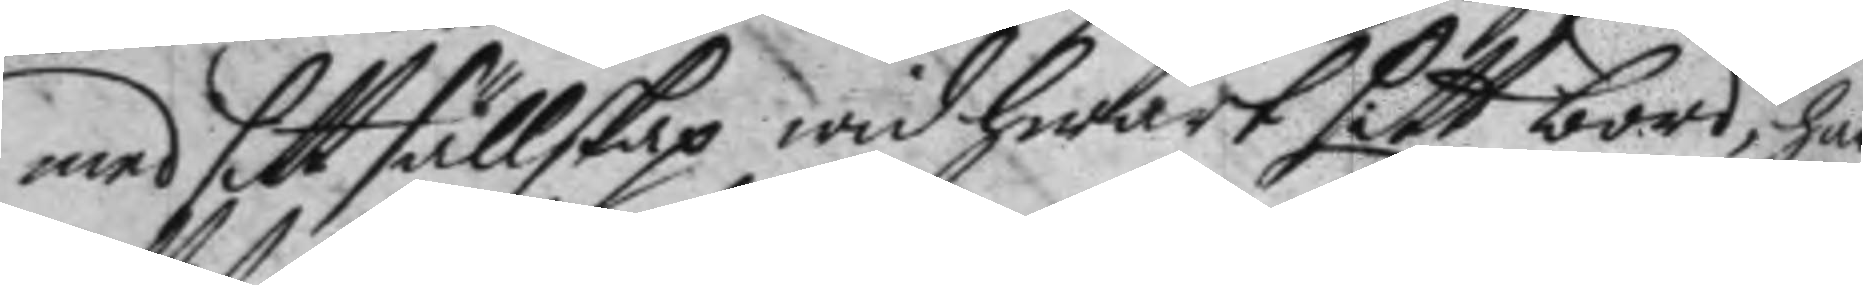med sitt sällskap wid hwart sitt bord, har
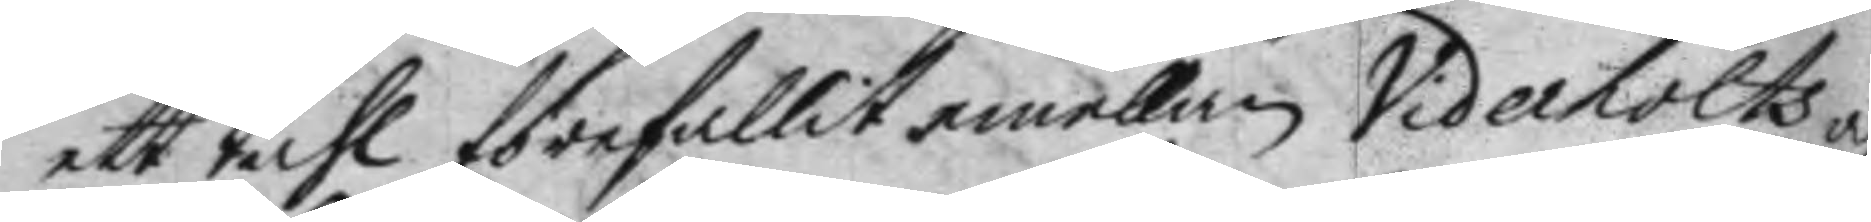ett tahl förefallit emellan Viderholts och
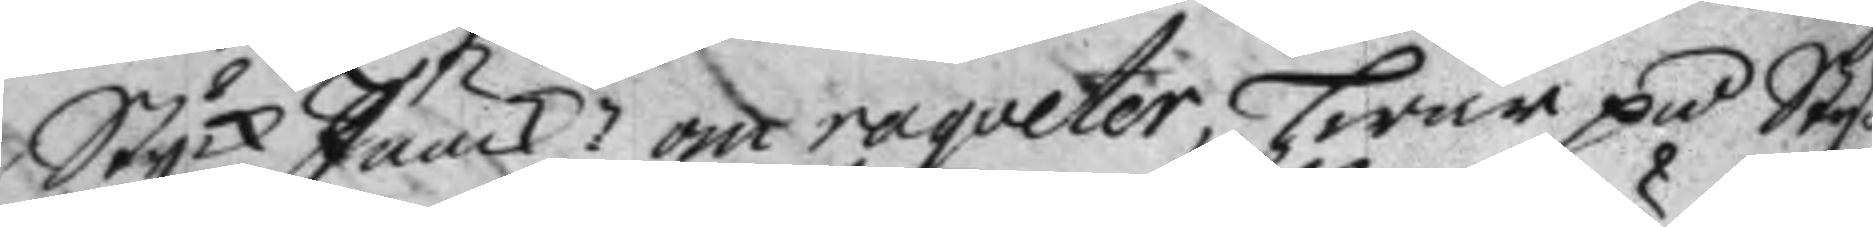Styck Junck:n om raqveter, hwar på Sty¬
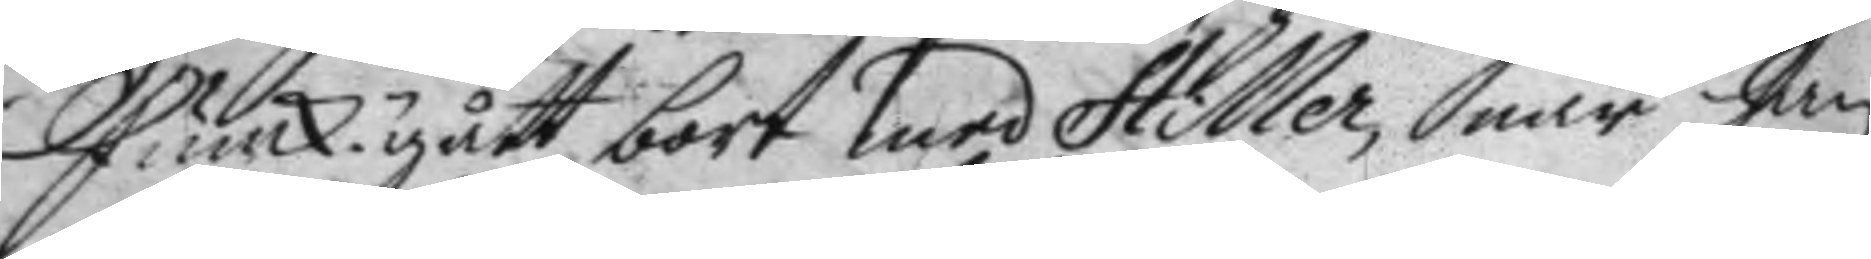Junck.n gått bort med Hiller, när han
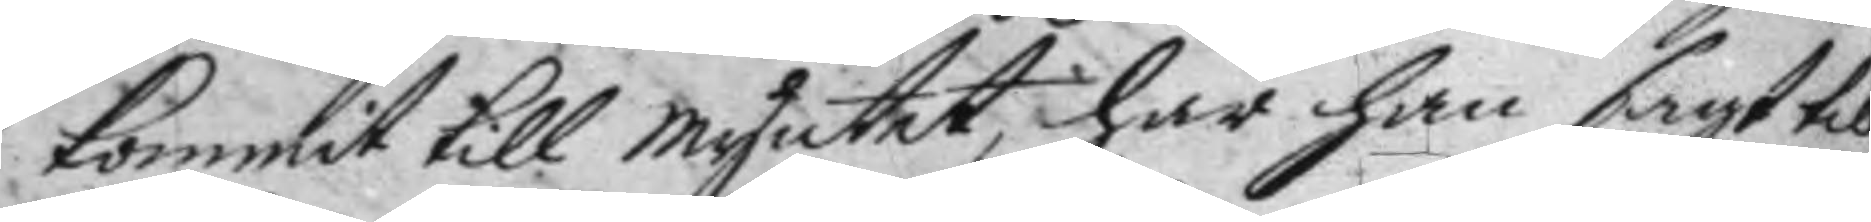kommit till myntet, har han sagt till
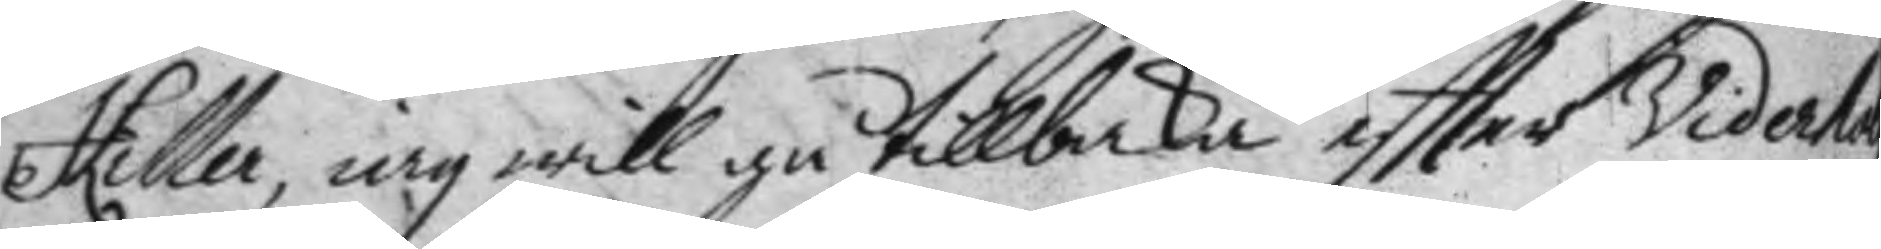Hiller, iag will gå tillbaka eftter Viderha
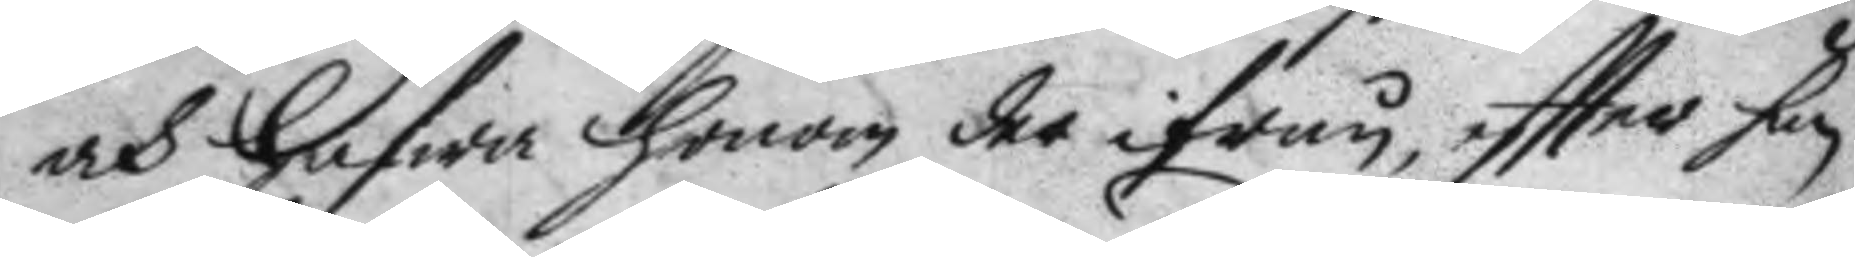och hafwa honom der ifrån, eftter han
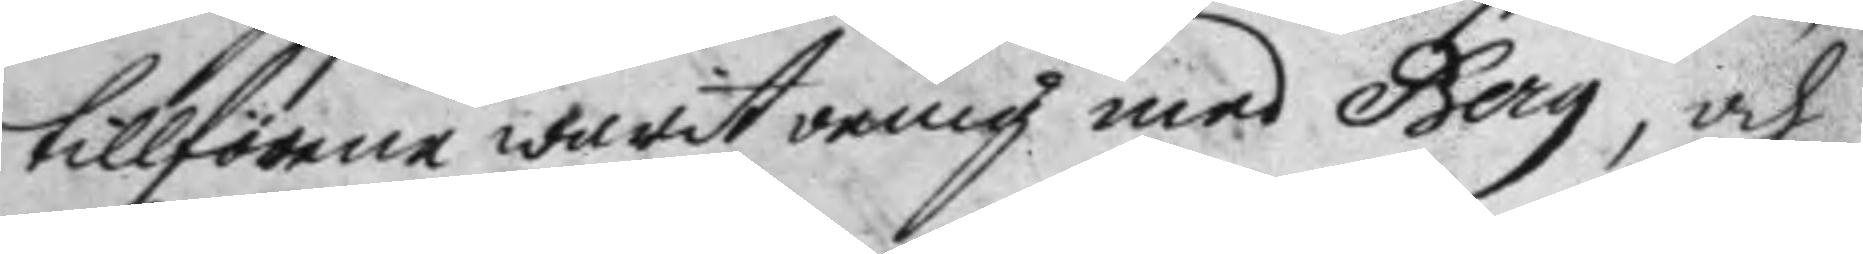tillförene warit oenig med Berg, och
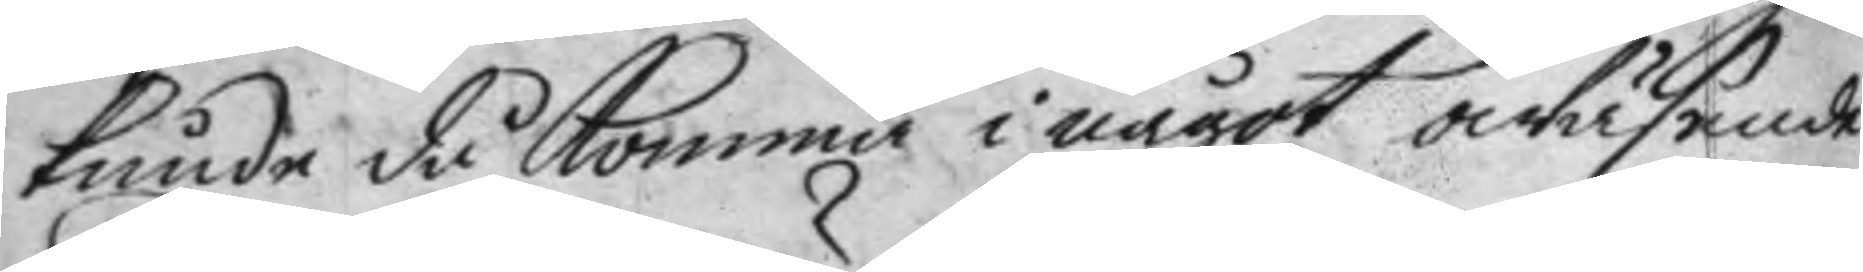kunde då Komma i något owäsende
